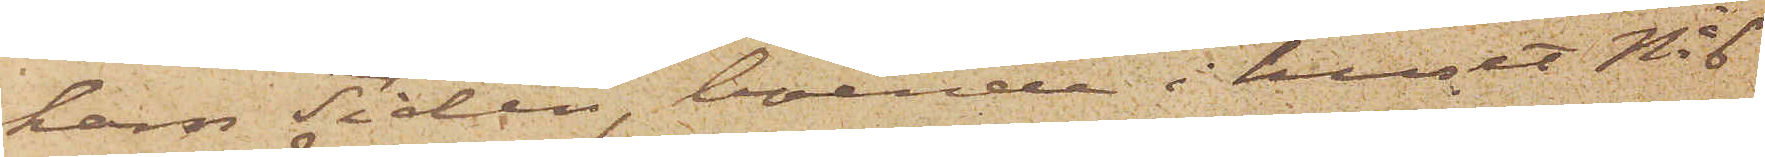ham Tidén, boende i huset No 6
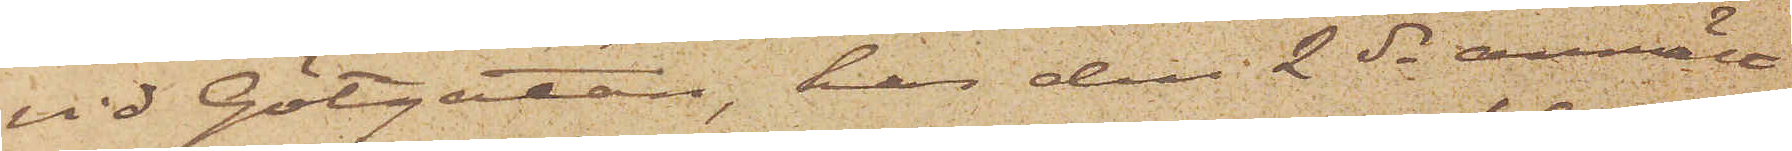vid Götgatan, har den 2 ds anmält
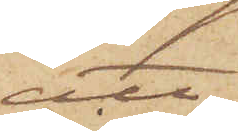att
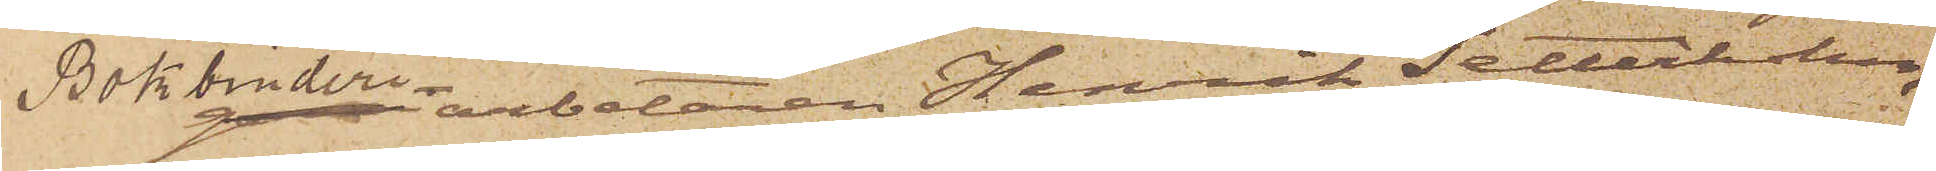Bokbinderiarbetaren Henrik Setterholm,
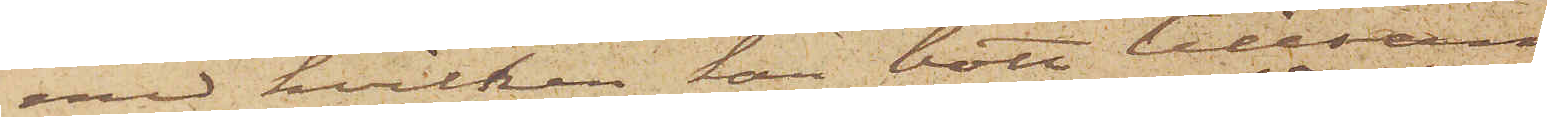med hvilken han bott tillsam¬
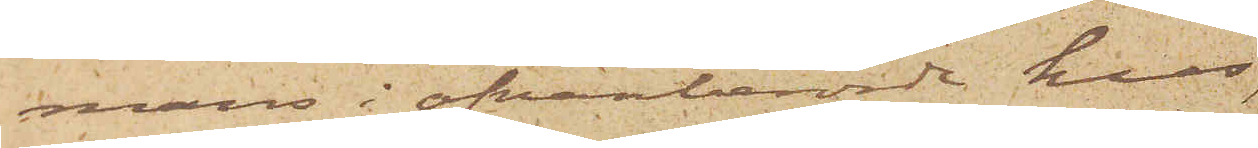mans i ofvanberörde hus,
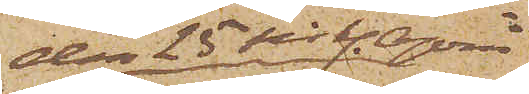den 25 sist. April
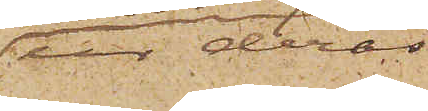ur deras
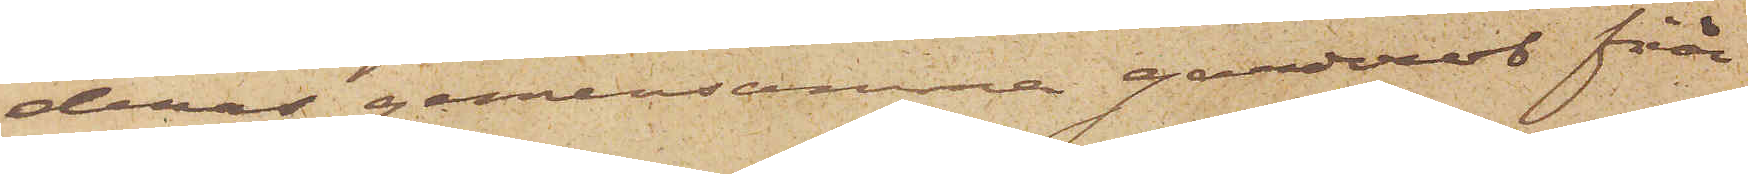deras gemensamma garderob från
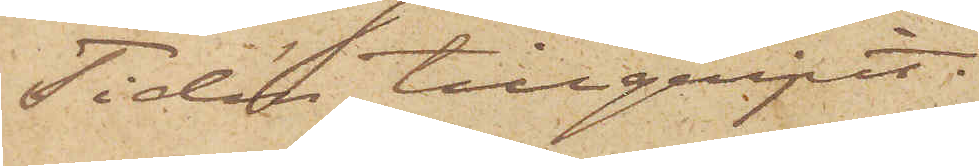Tidén tillgripit:
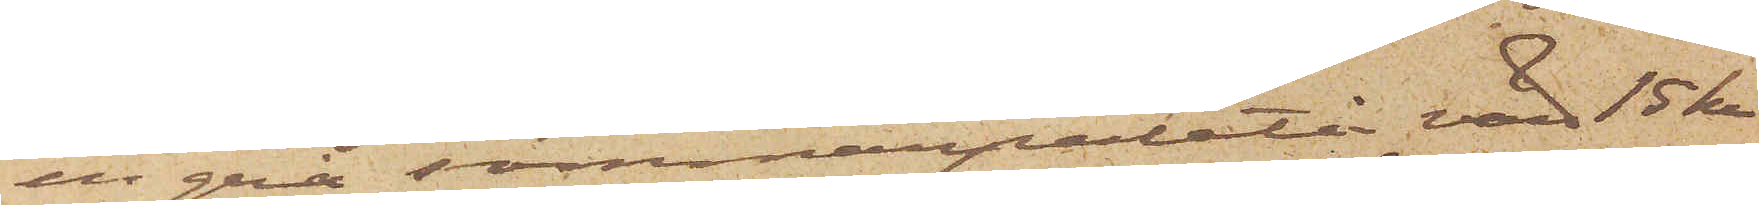en grå sommarpaletå, värd 15 kr
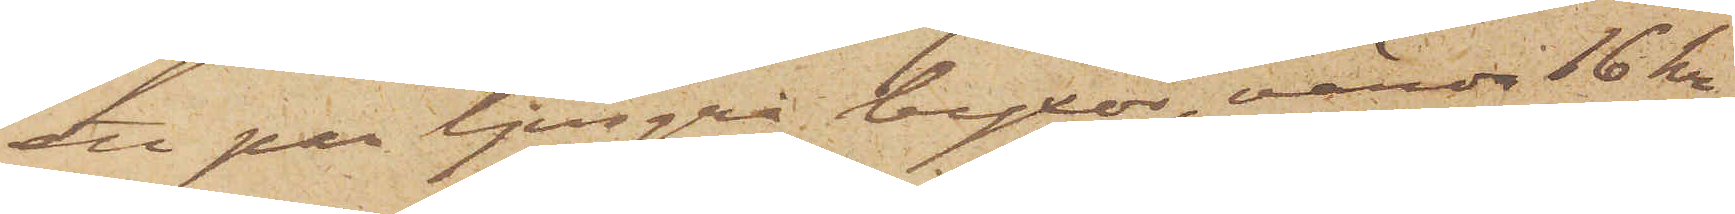ett par ljusgrå byxor, värda 16 kr;
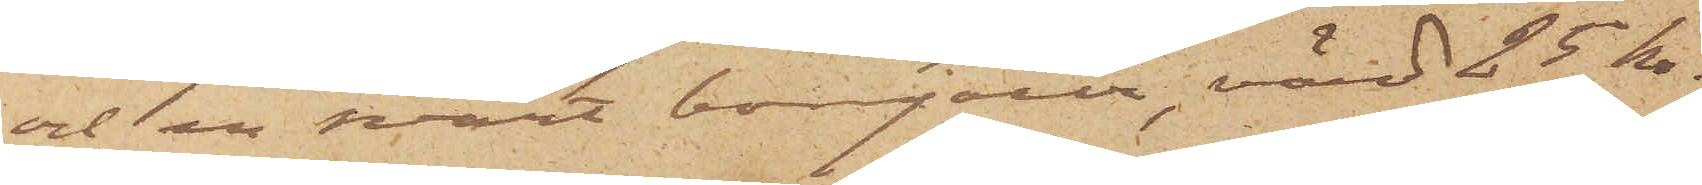och en svart bonjour, värd 25 kr.
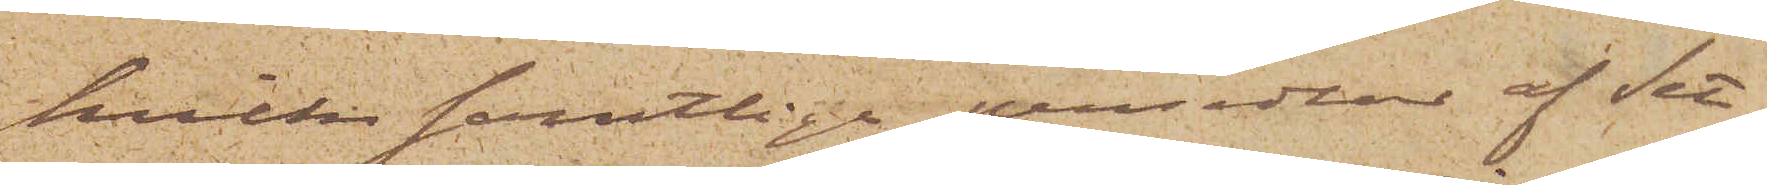hvilka samtlige persedlar af Set¬
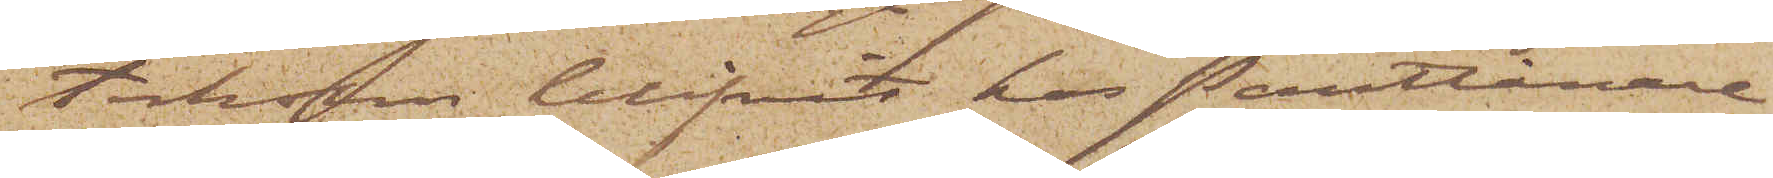terholm blifvit hos Pantlånare
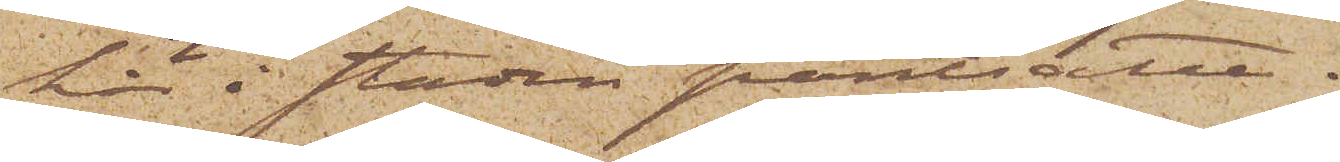här i staden pantsatte.
